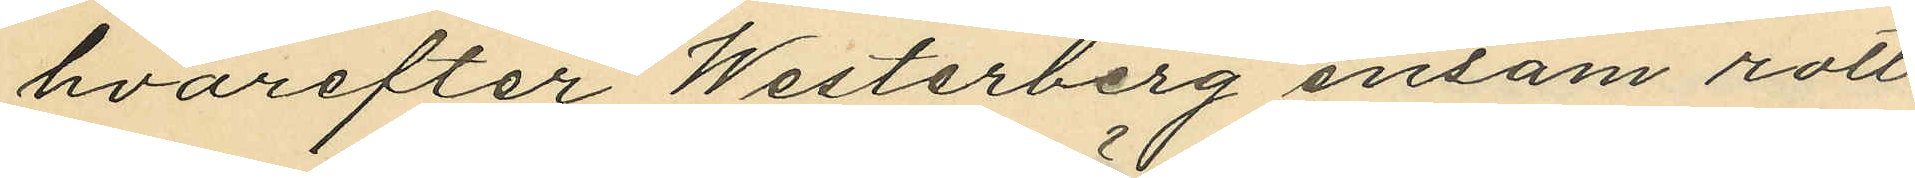hvarefter Westerberg ensam rott
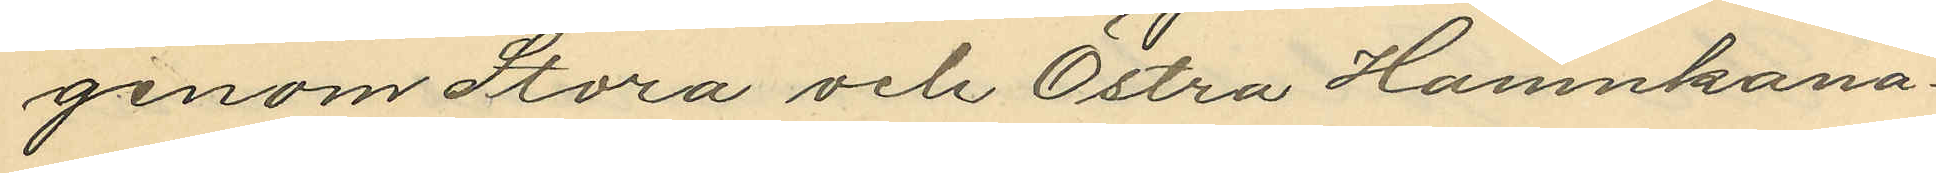genom Stora och Östra Hamnkana¬
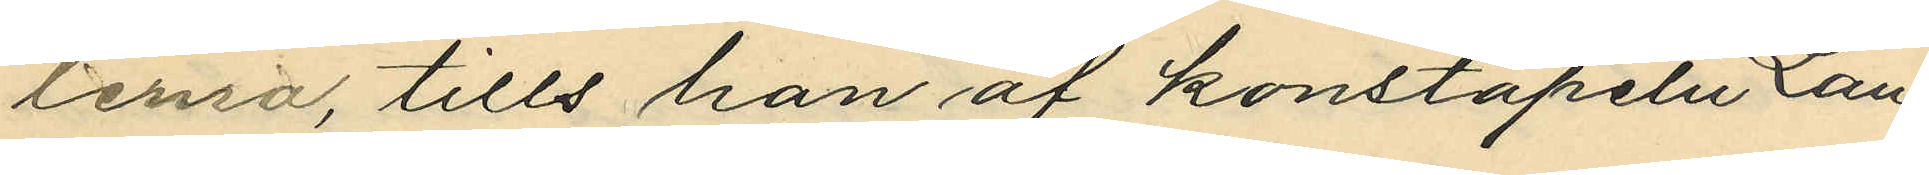lerna, tills han af konstapeln Lan¬
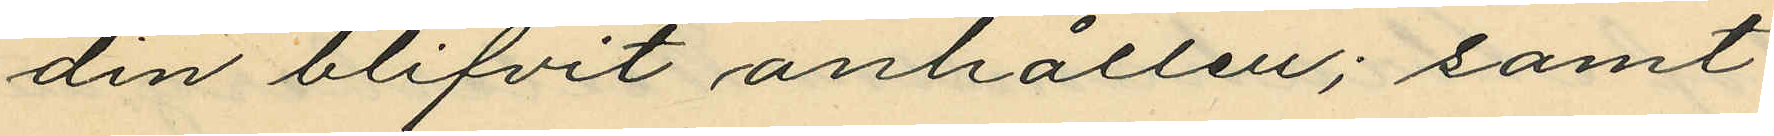din blifvit anhållen; samt
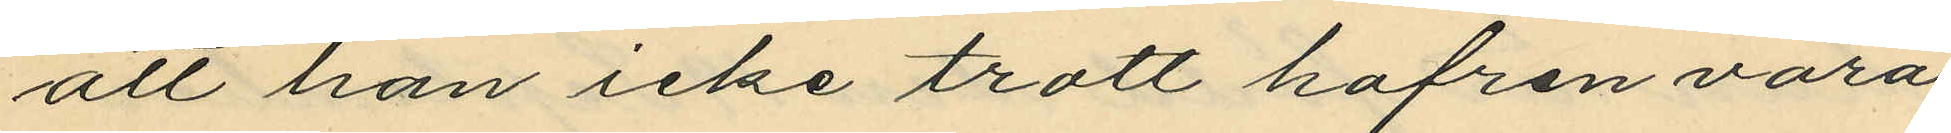att han icke trott hafren vara
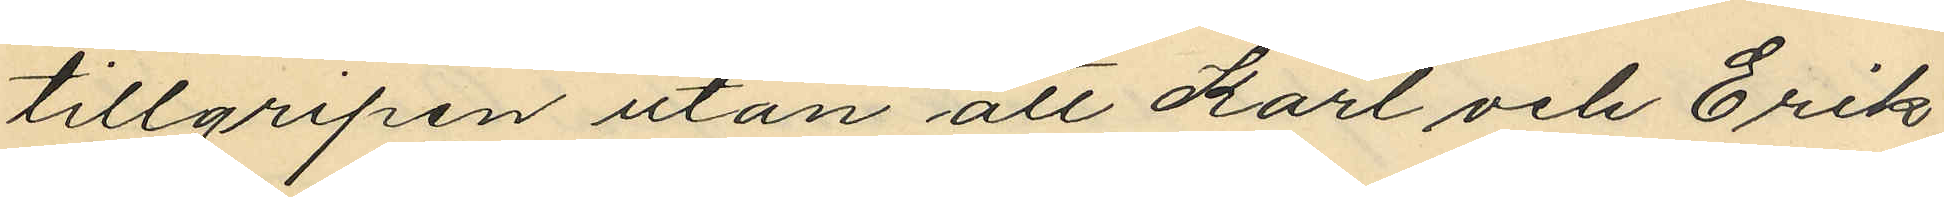tillgripen utan att Karl och Erik
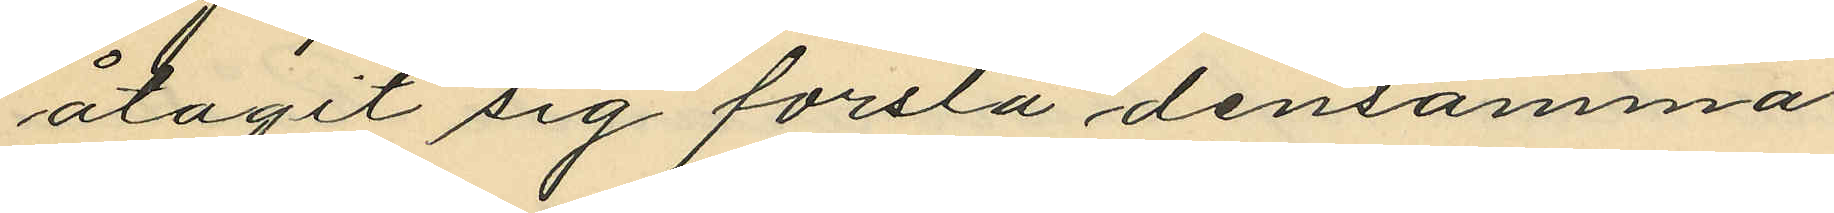åtagit sig forsla densamma
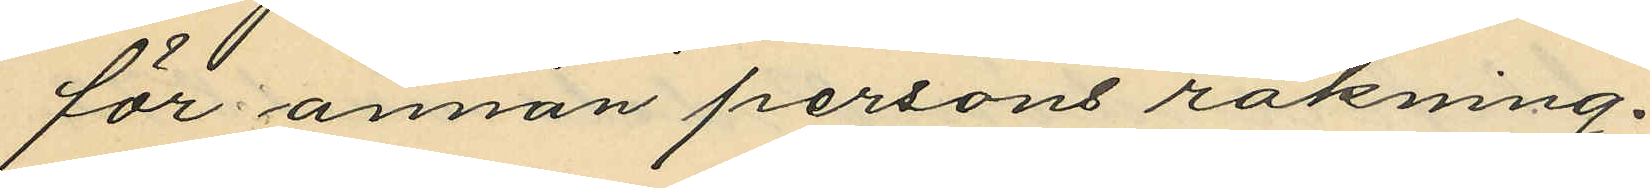för annan persons räkning.
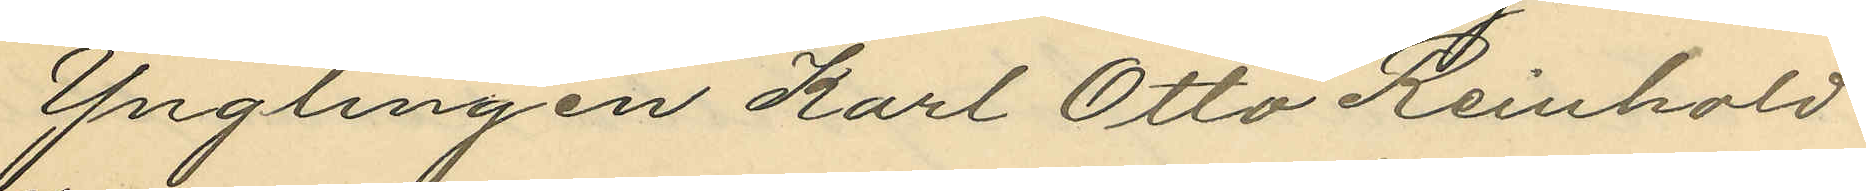Ynglingen Karl Otto Reinhold
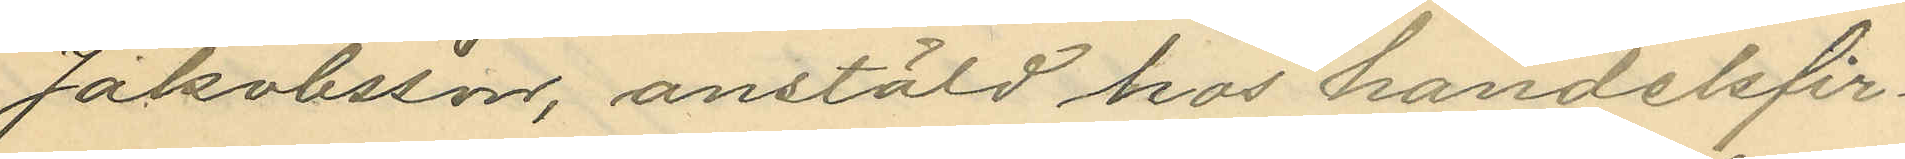Jakobsson, anstäld hos handelsfir¬
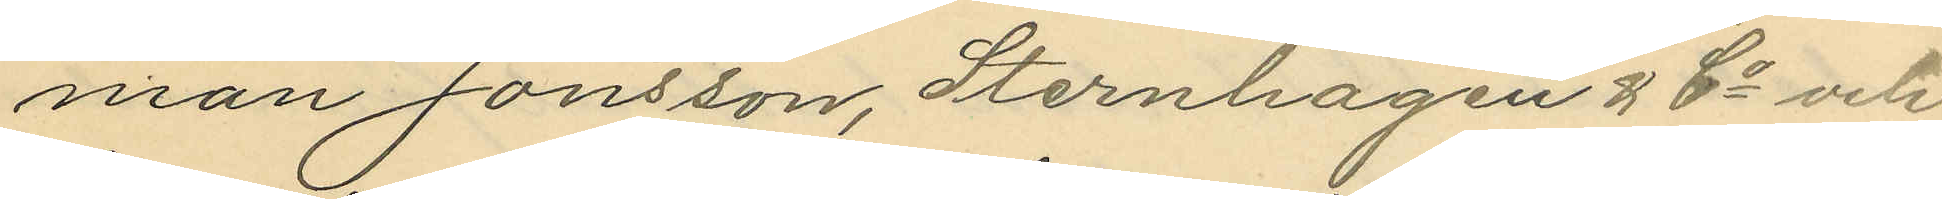man Jonsson, Sternhagen & Co och
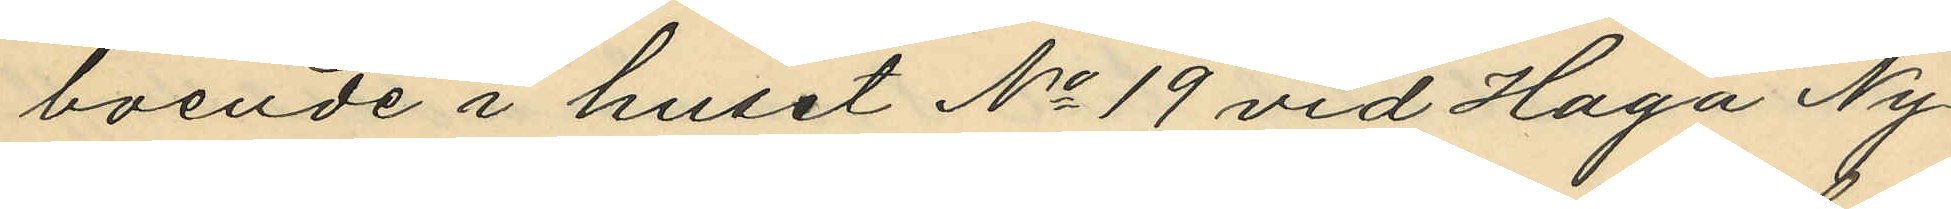boende i huset No 19 vid Haga Ny¬
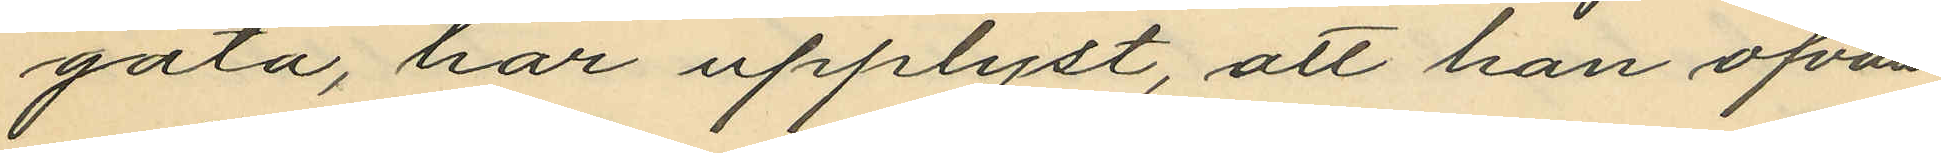gata, har upplyst, att han ofvan¬
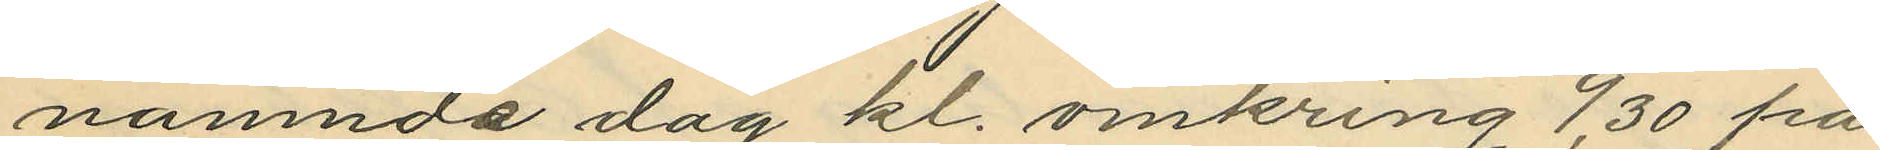nämnda dag kl. omkring 9,30 på
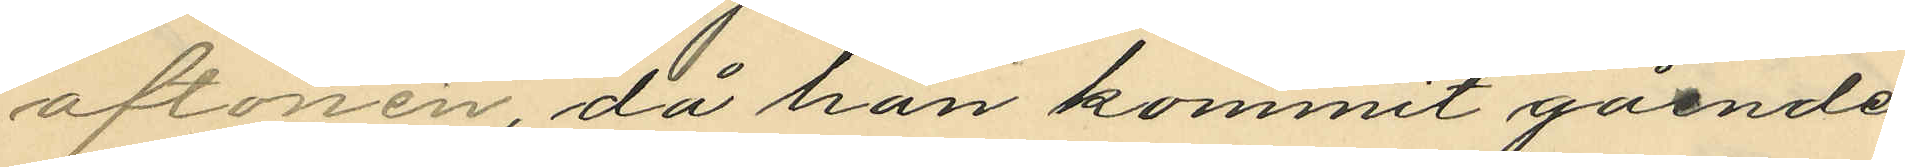aftonen, då han kommit gående
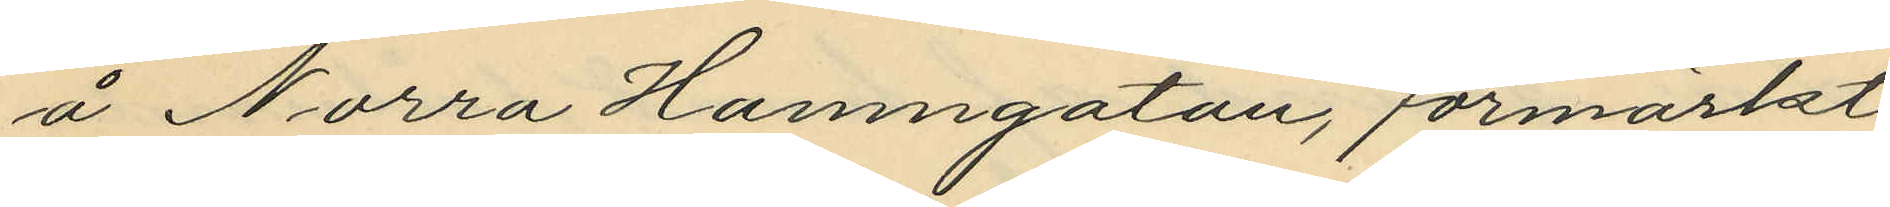å Norra Hamngatan, förmärkt
